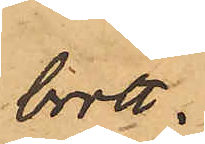brott.
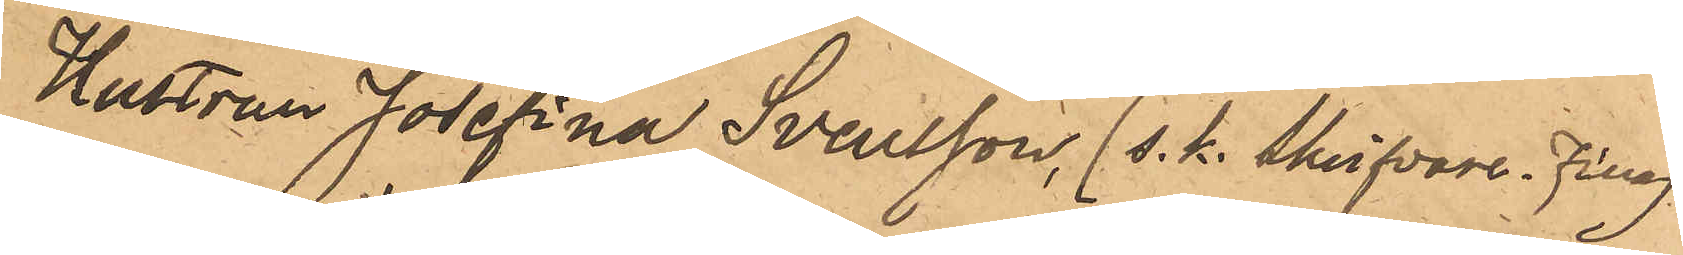Hustrun Josefina Svensson (s. k. skrifvare, Fina)
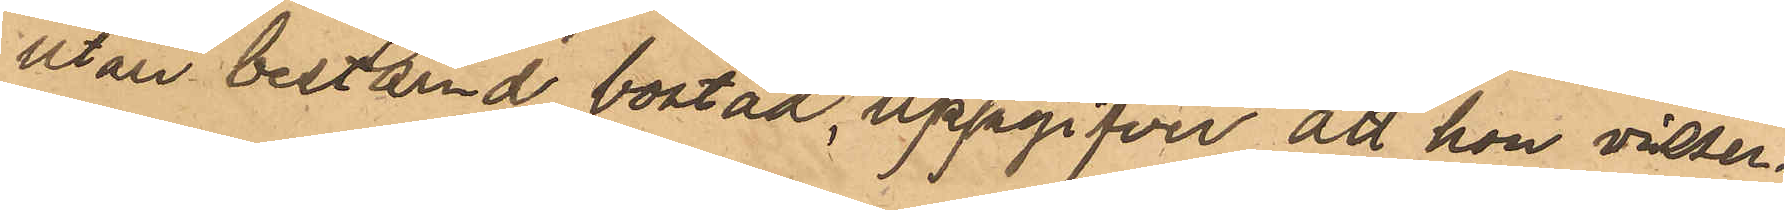utan bestämd bostad, uppgifver att hon visser¬
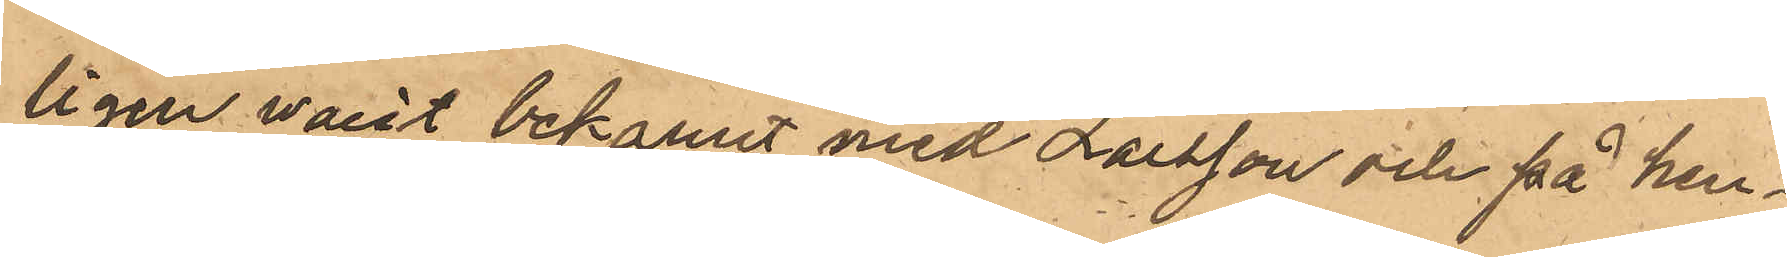ligen varit bekant med Larsson och på hen¬
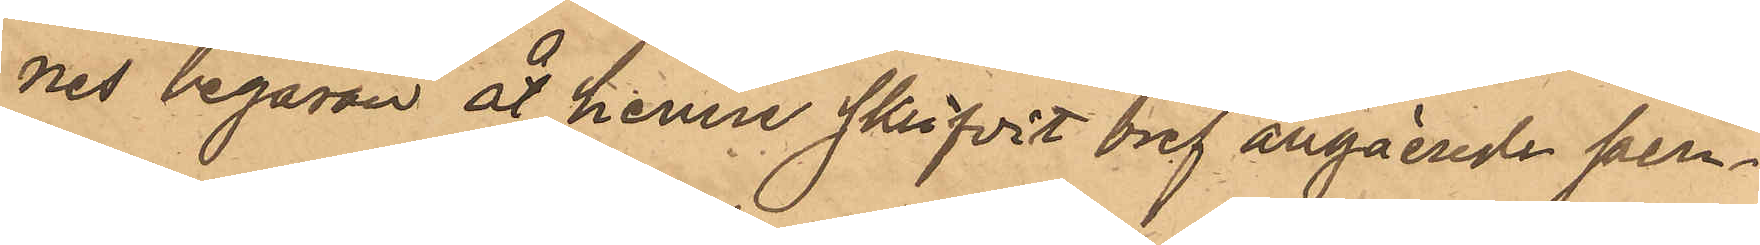nes begäran åt henne skrifvit bref angående pen¬
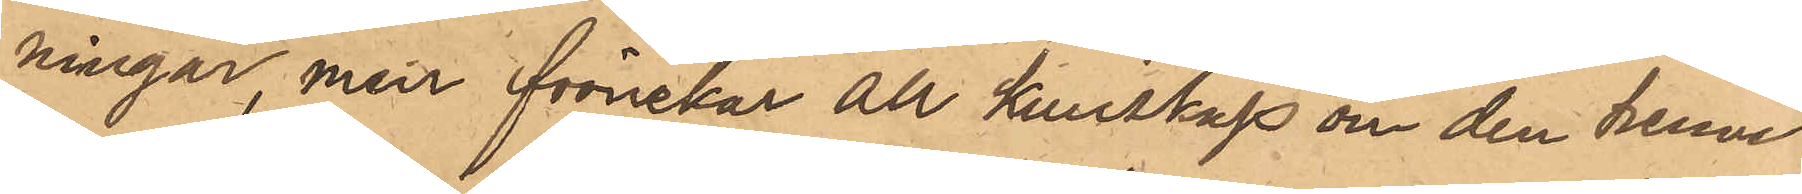ningar, men förnekar all kunskap om den henne
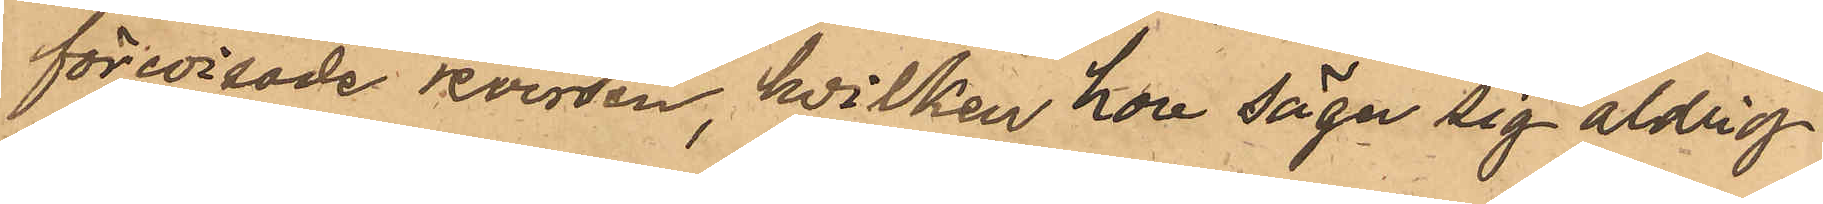förevisade reversen, hvilken hon säger sig aldrig
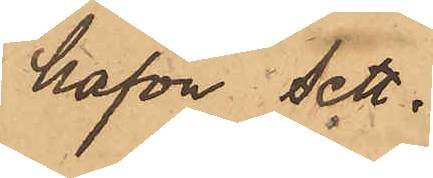hafva sett.
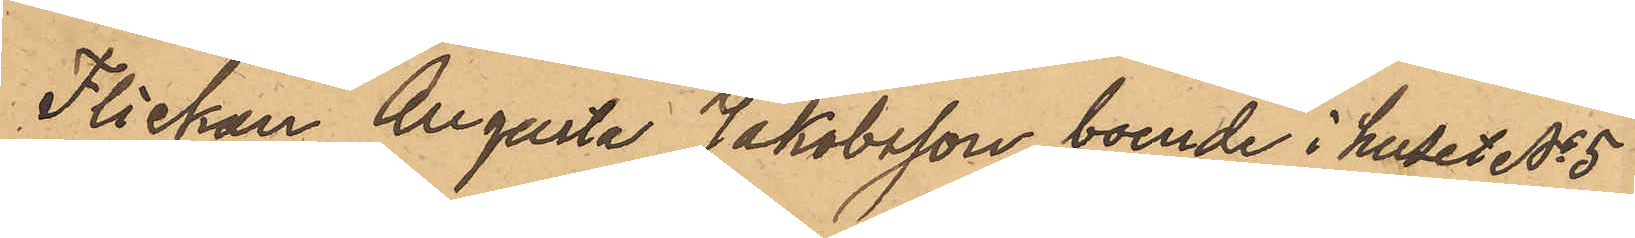Flickan Augusta Jakobsson, boende i huset No 5
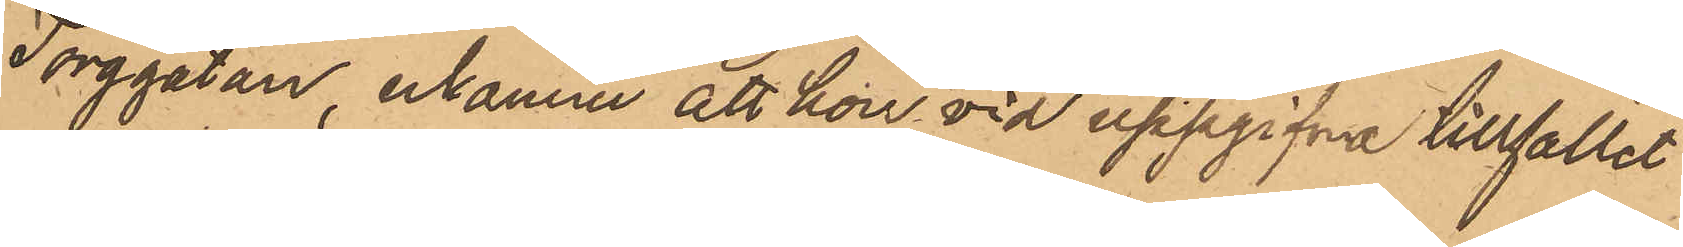Torggatan, erkänner att hon vid uppgifna tillfället
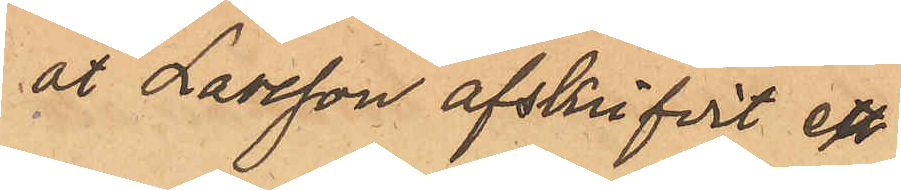åt Larsson afskrifvit en
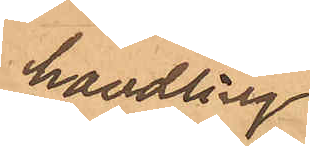handling,
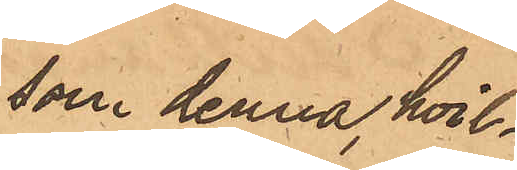som denna, hvil¬
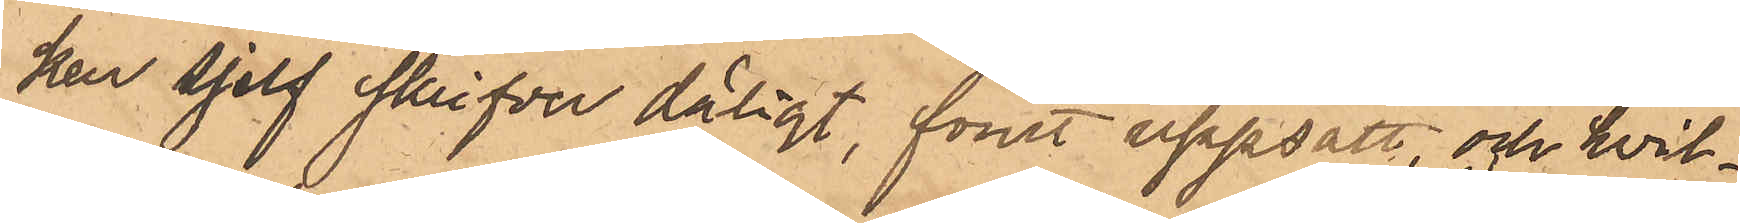ken sjelf skrifver dåligt, förut uppsatt, och hvil¬
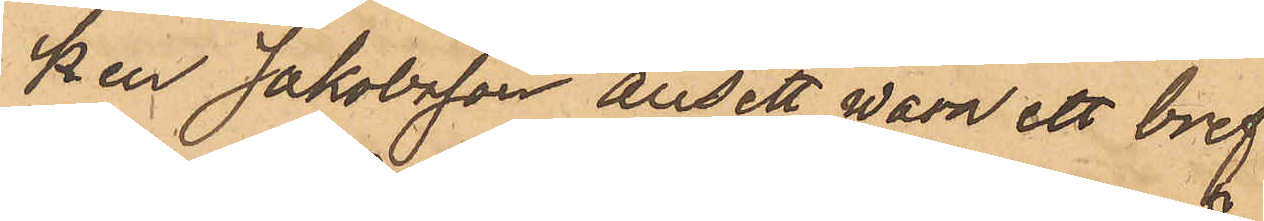ken Jakobsson ansett wara ett bref
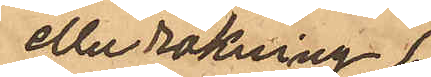eller räkning,
